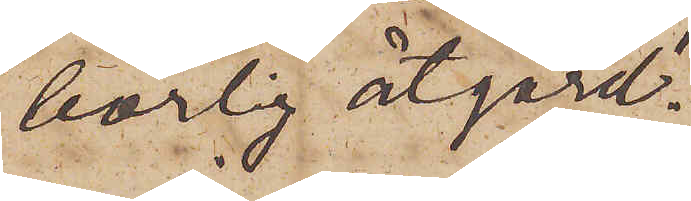börlig åtgärd.
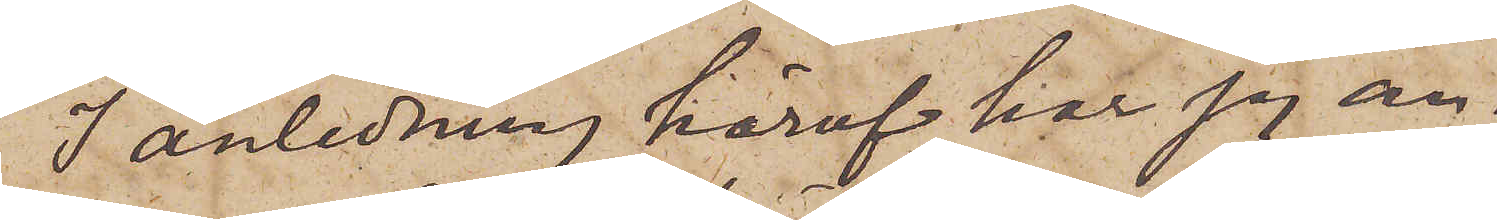I anledning häraf har jag an¬
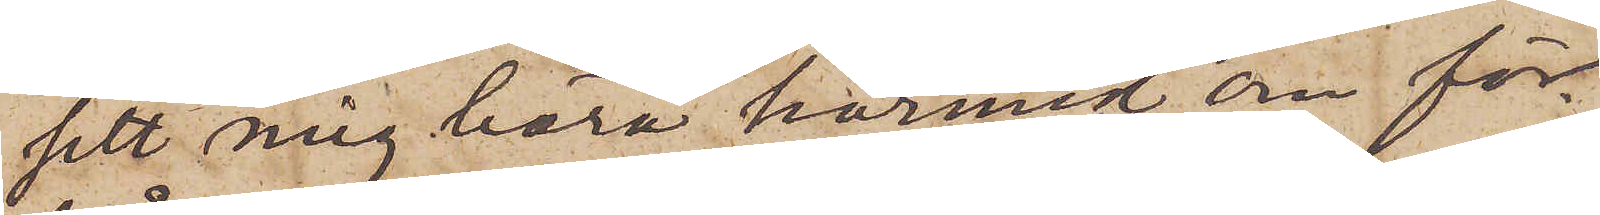sett mig böra härmed om för¬
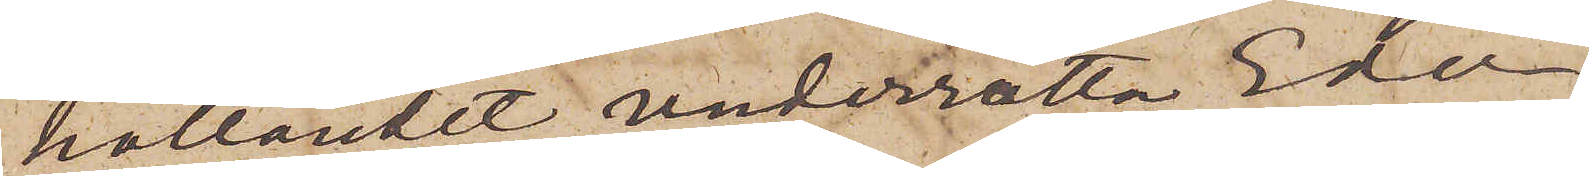hållandet underrätta Eder,
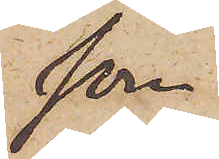som
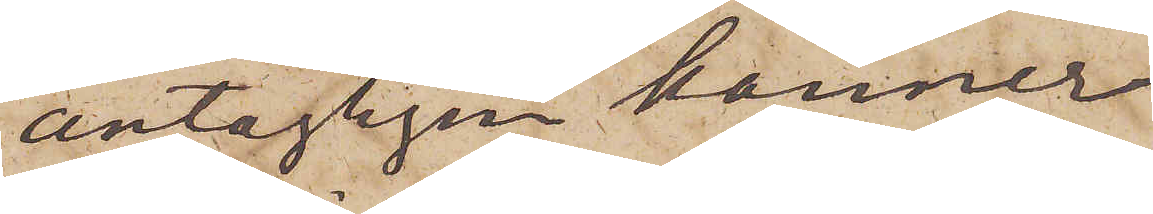antagligen känner
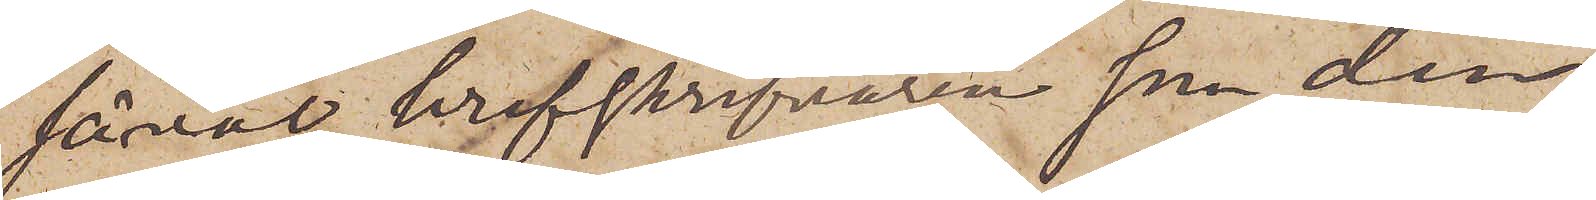såväl brefskrifvaren som den,
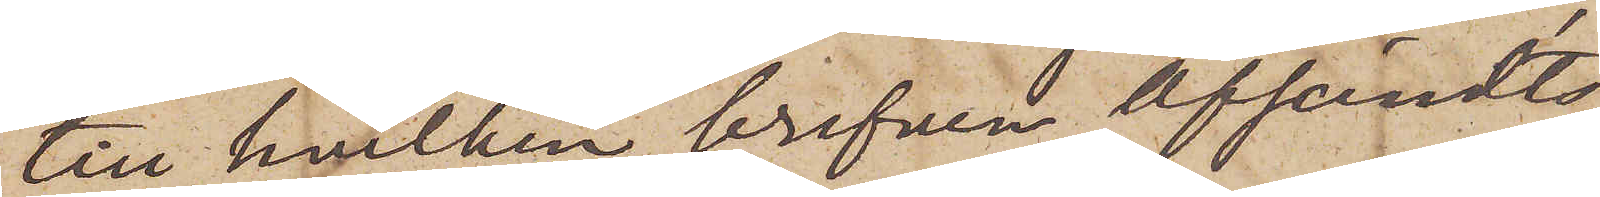till hvilken brefven afsändts,
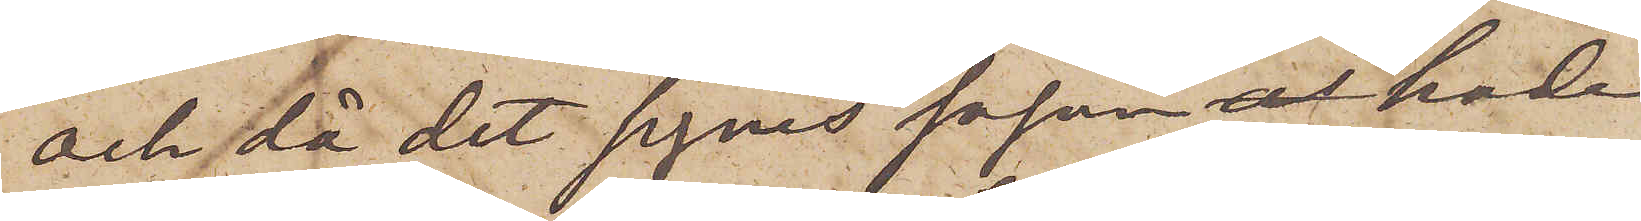och då det synes såsom hade
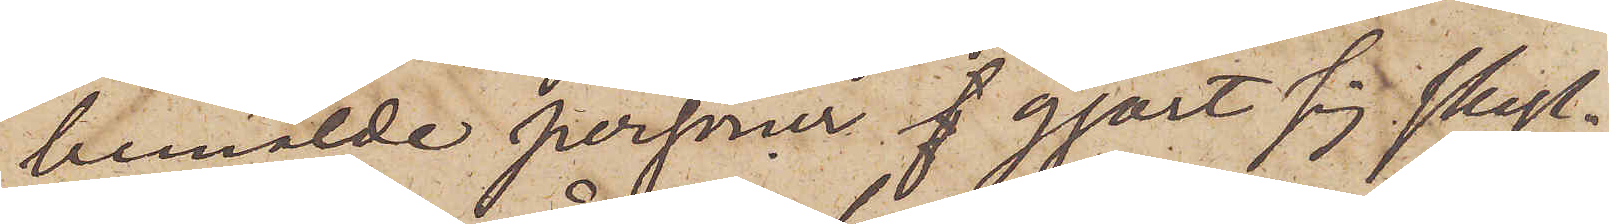bemälde personer  gjort sig skyl¬
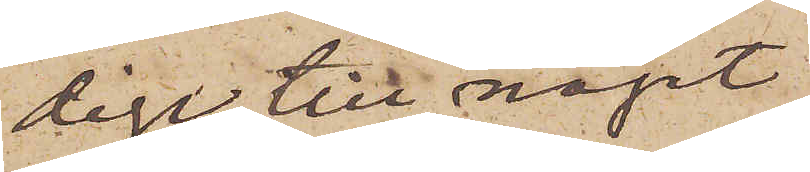dige till något
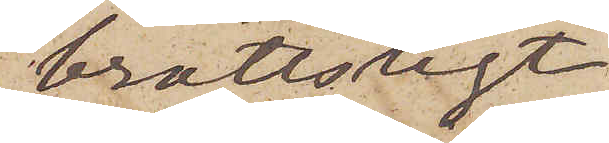brottsligt
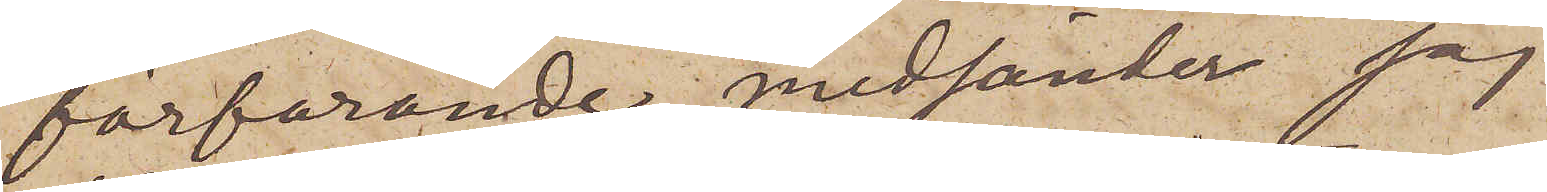förfarande, medsänder jag
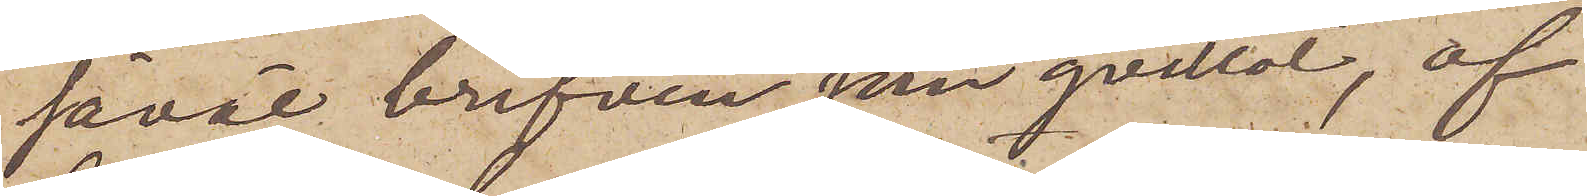såväl brefven som qvittot, af
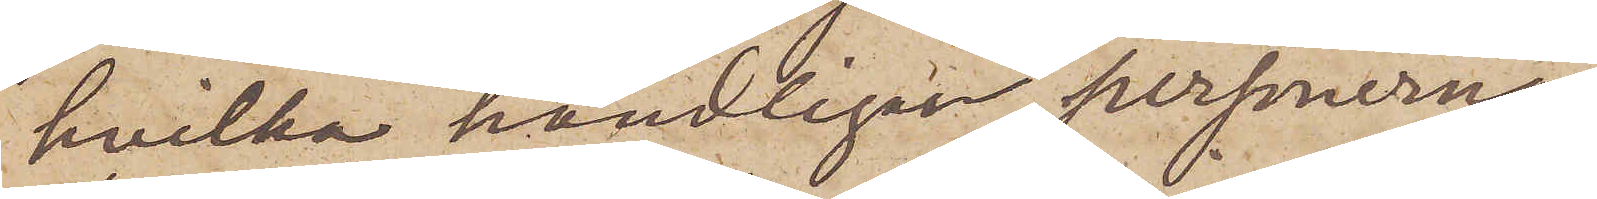hvilka handlingar personernas
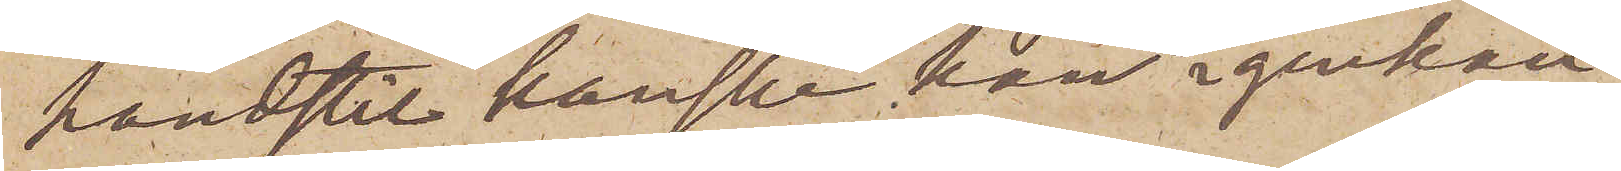handstil kanske kan igenkän¬
